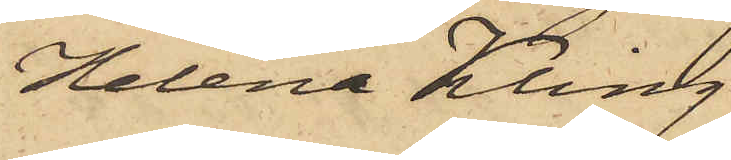Helena Kling
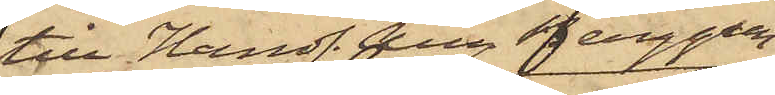till Handl. Aug Berggren
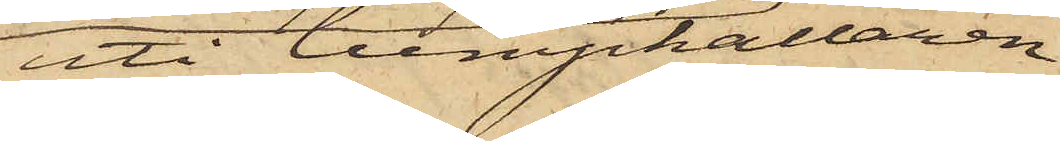uti lumpkällaren
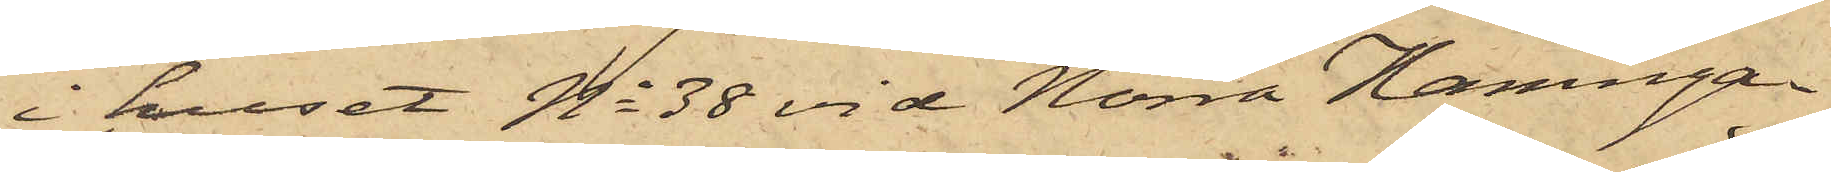i huset No 38 vid Norra Hamnga¬
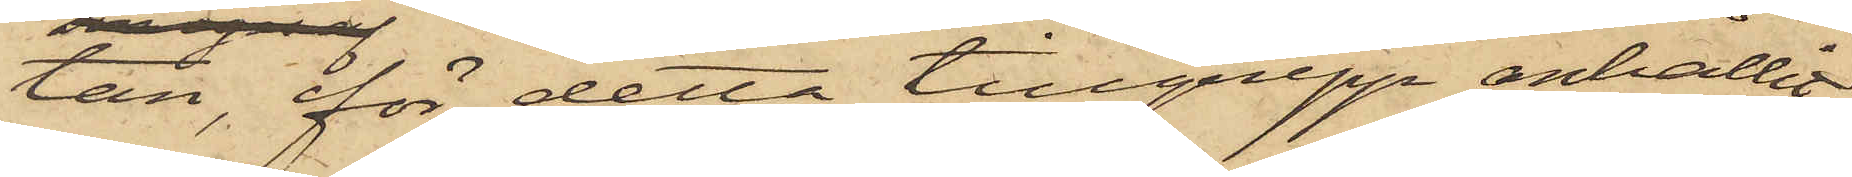tan, för detta tillgrepp anhållit
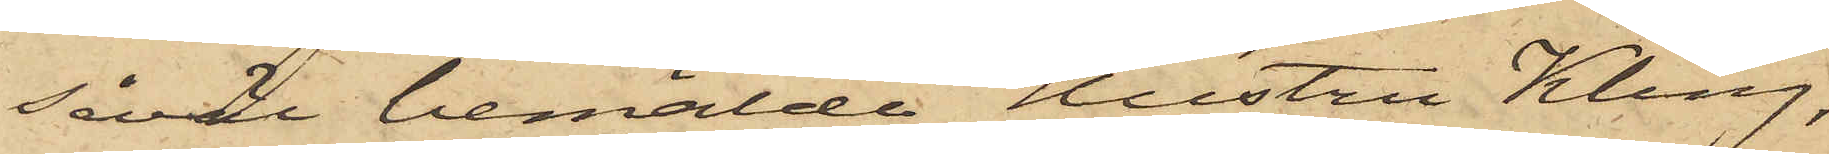såväl bemälde Hustru Kling,
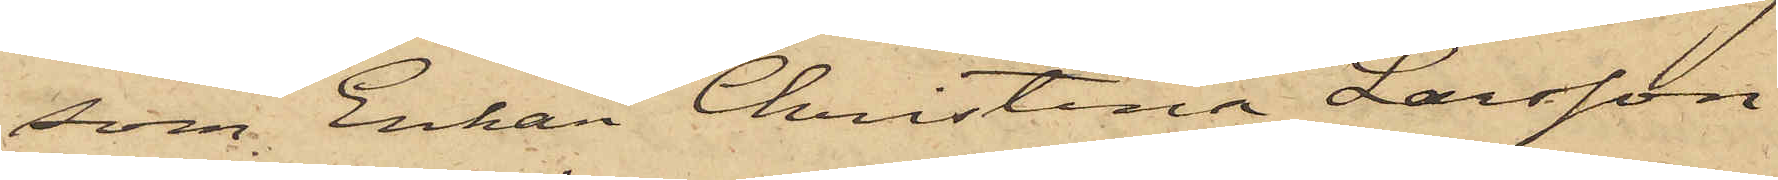som Enkan Christina Larsson
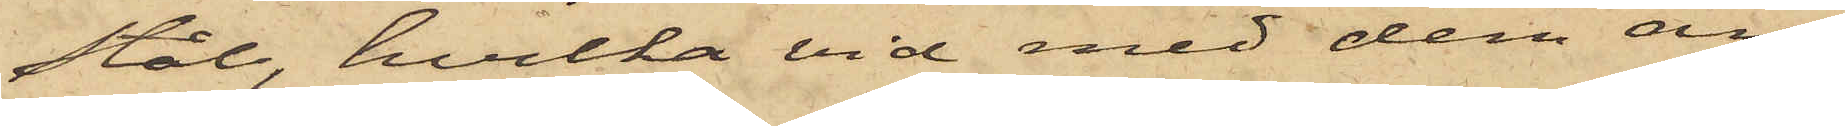Stål, hvilka vid med dem an¬
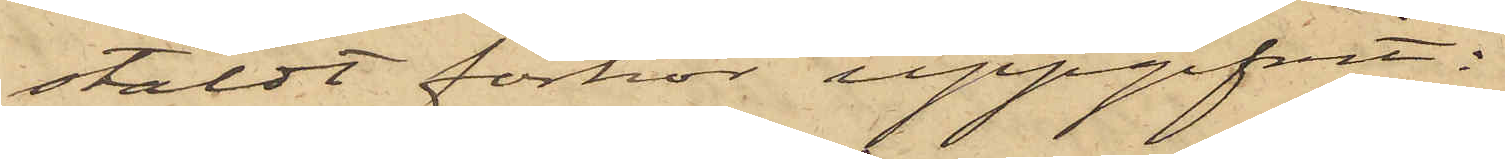stäldt förhör uppgifvit:
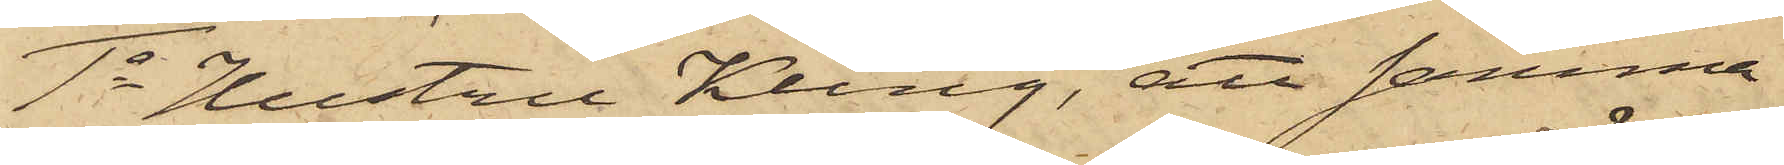1o Hustru Kling, att samma
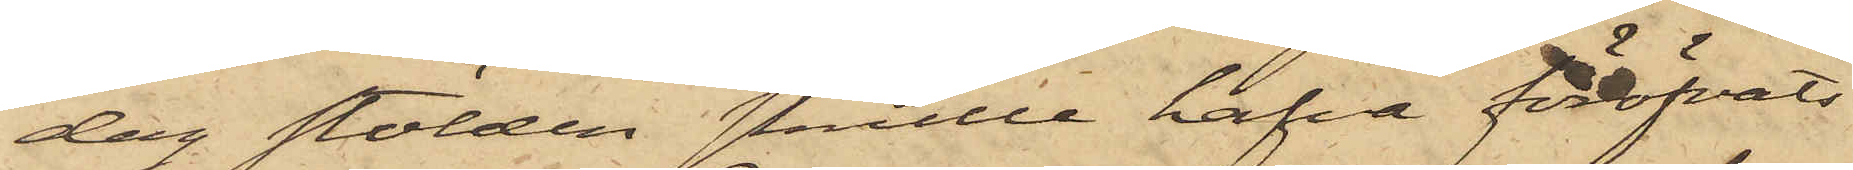dag stölden skulle hafva föröfvats
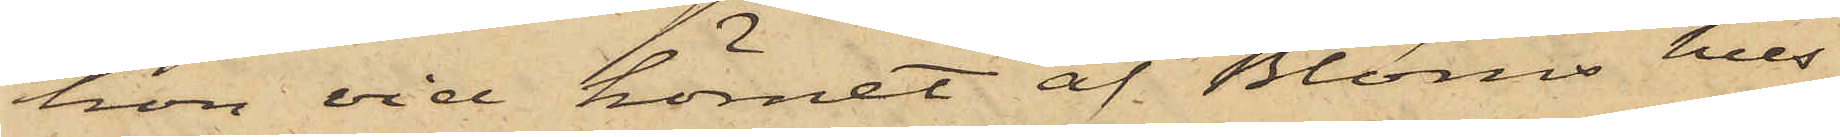hon vid hörnet af Bloms hus
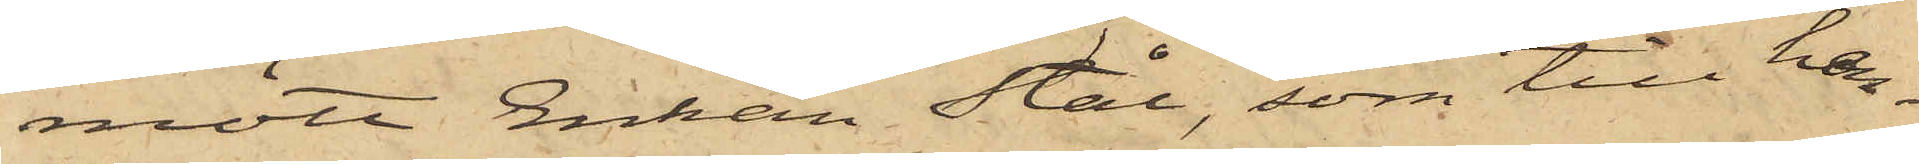mött Enkan Stål, som till hen¬
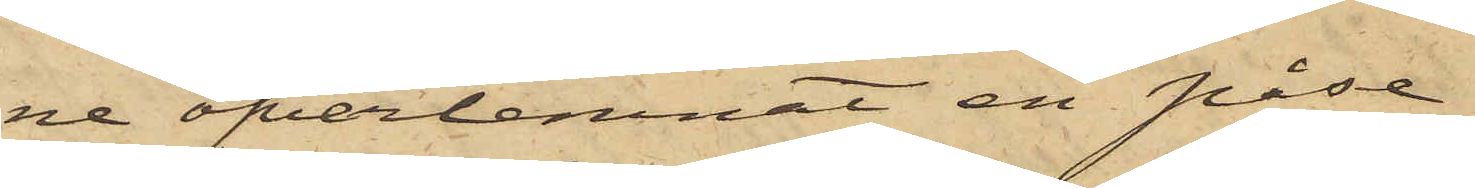ne öfverlemnat en påse
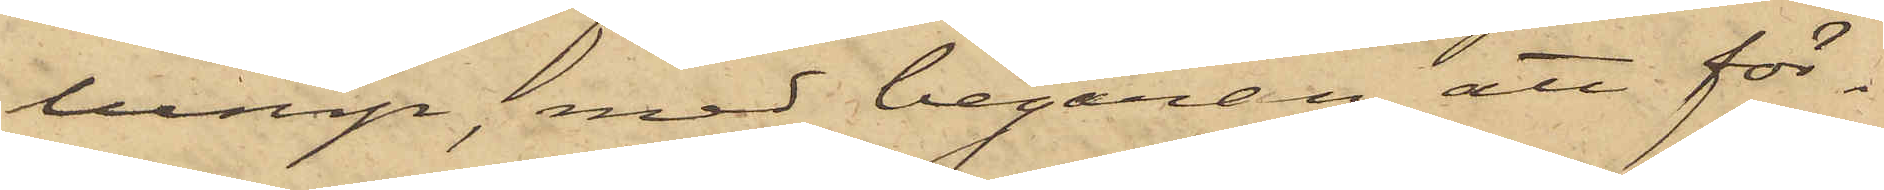lump, med begäran att för¬
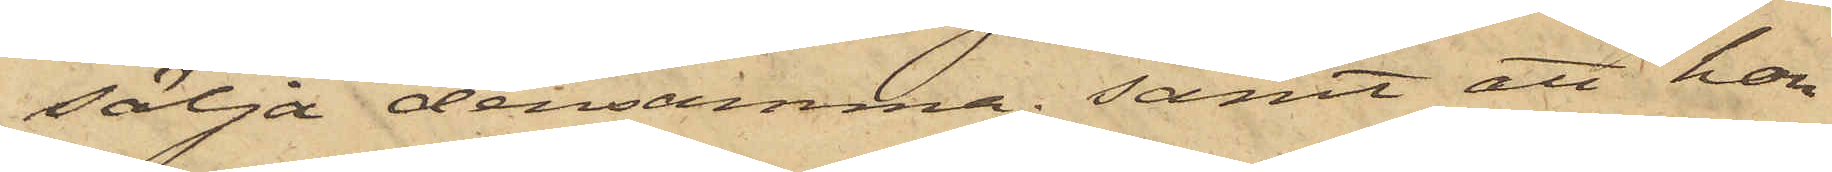sälja densamma; samt att hon
